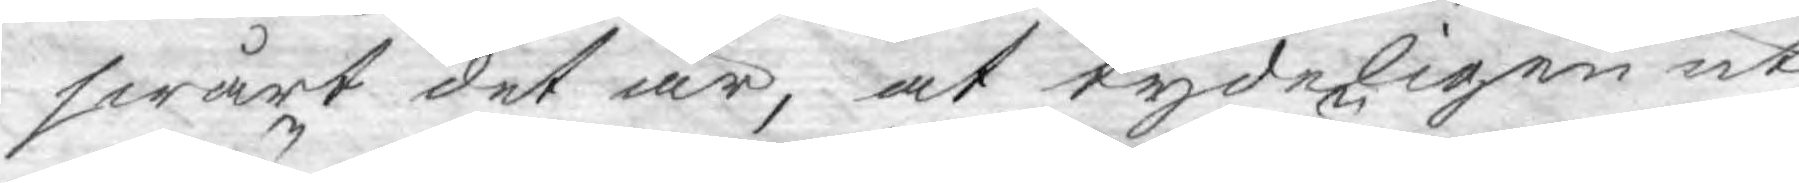swårt det är, at tydeligen ut¬
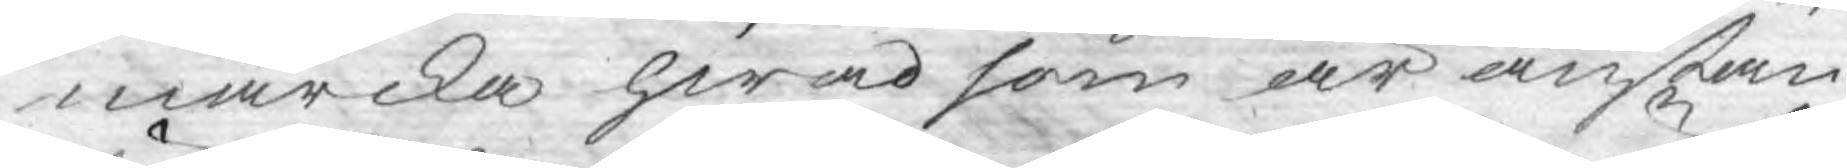märcka hwad som är anstän¬
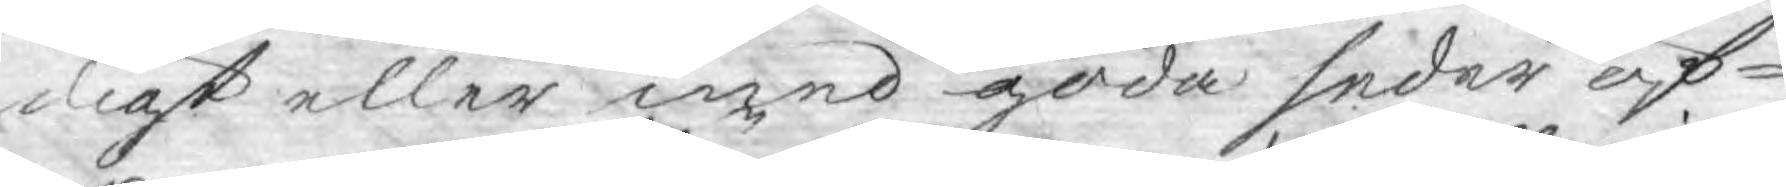digt eller med goda seder öf¬
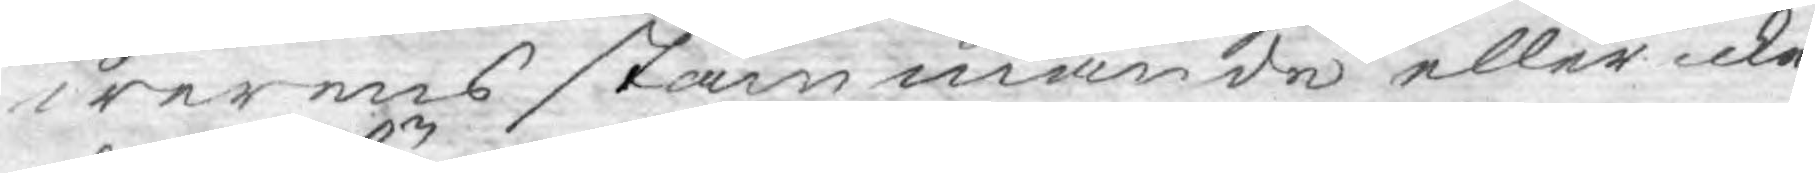werens stämmande eller icke:
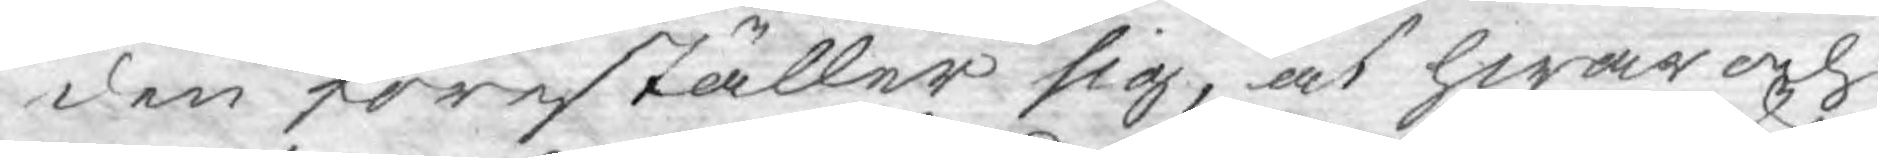den föreställer sig, at hwar och
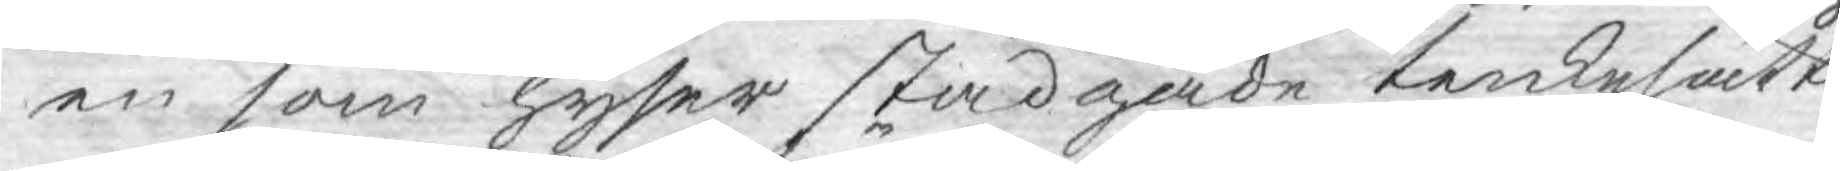en som hyser stadgade tenkesätt,
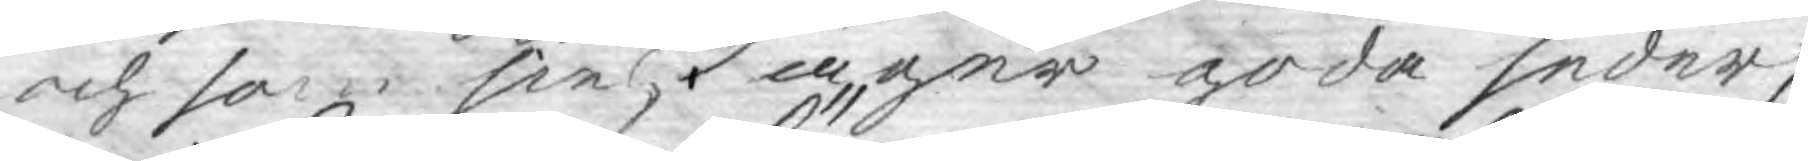och som sielf äger goda seder,
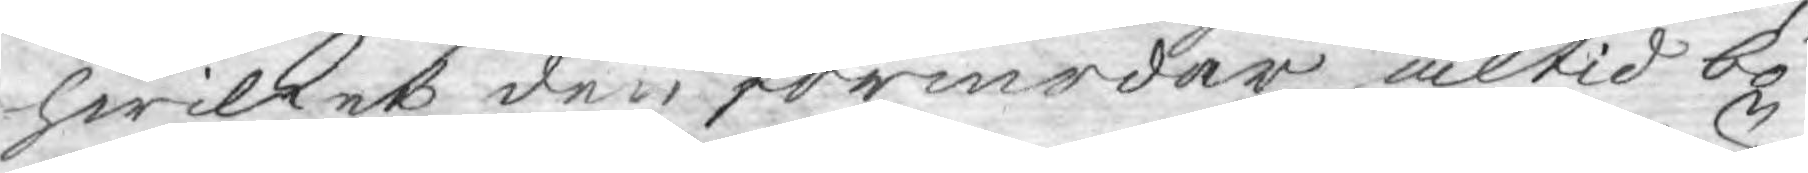hwilket den förmodar altid bö¬
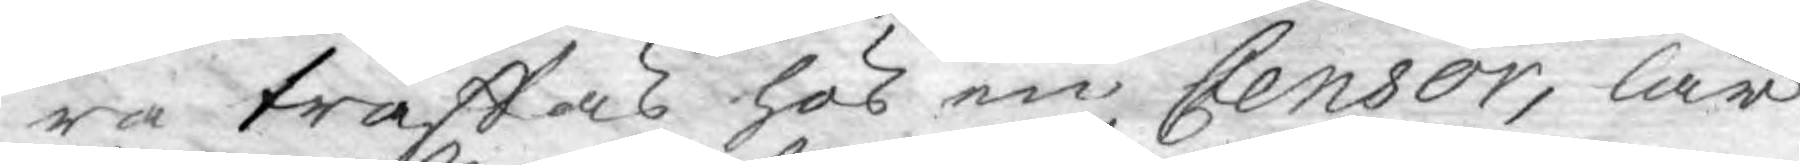ra träffas hos en Censor, lär
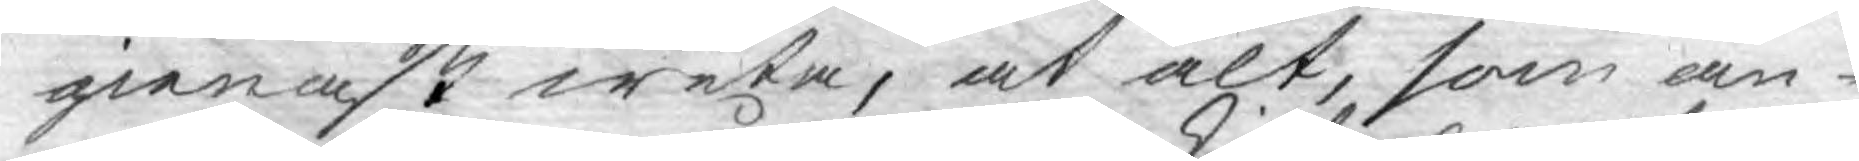gienast weta, at alt, som an¬
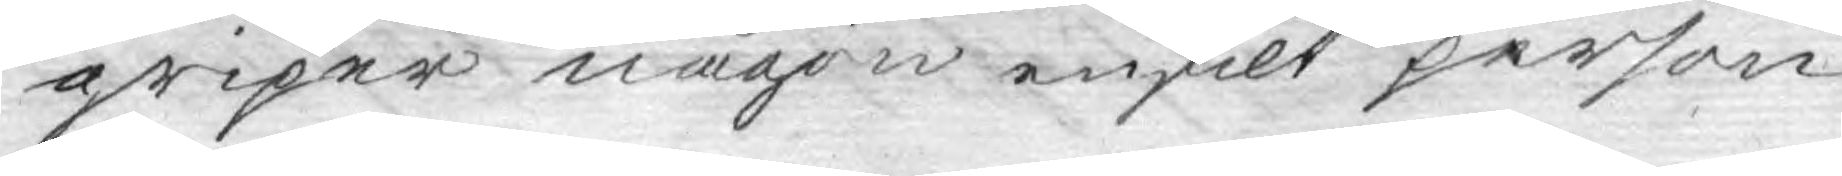griper någon enskilt person
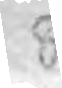8
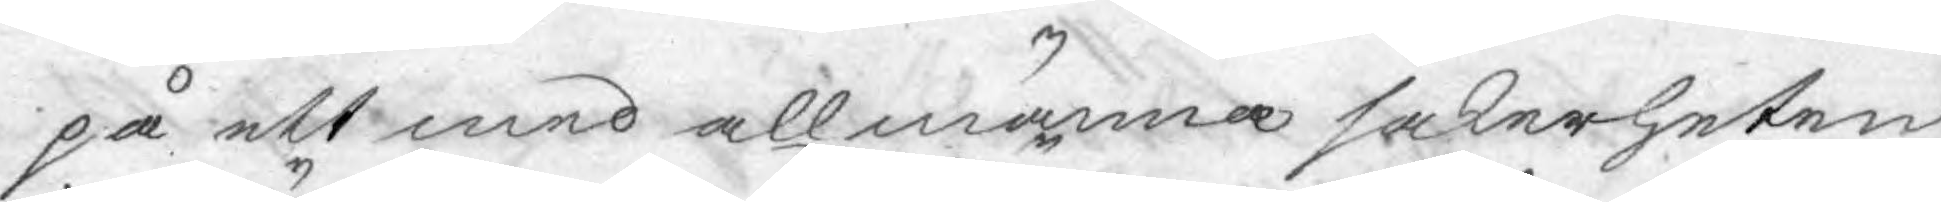på ett med allmänna säkerheten
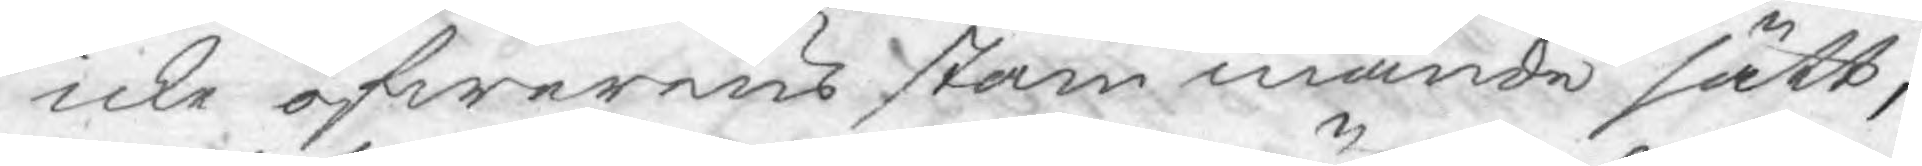icke öfwerens stämmande sätt;
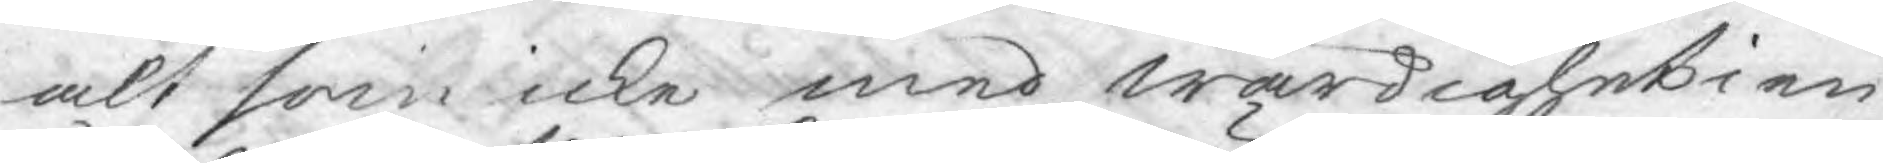alt som icke med wärdighet i en
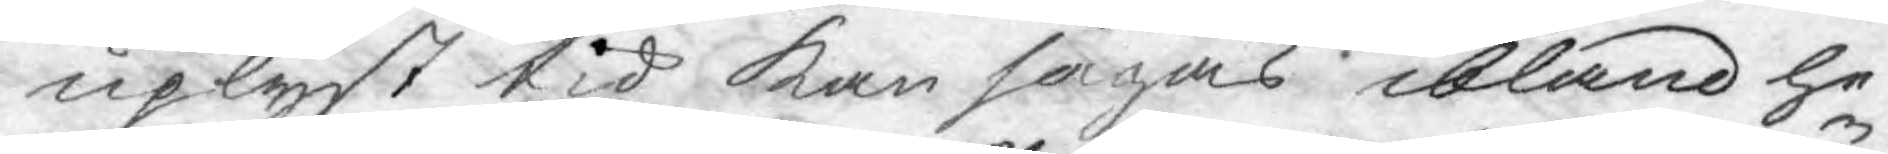uplyst tid kan sägas ibland he¬
